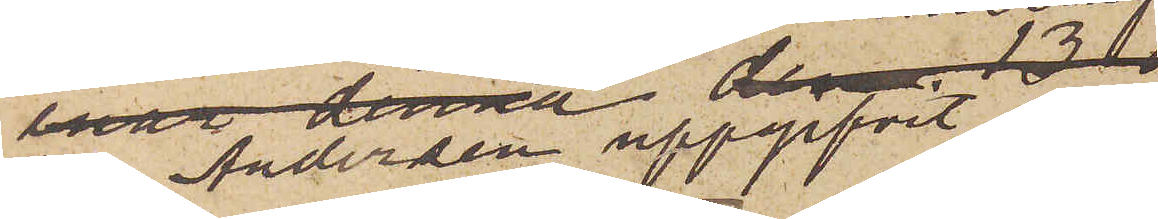har Andersen uppgifvit,
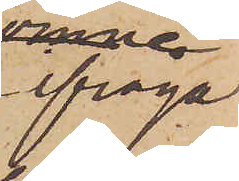att ifråga¬
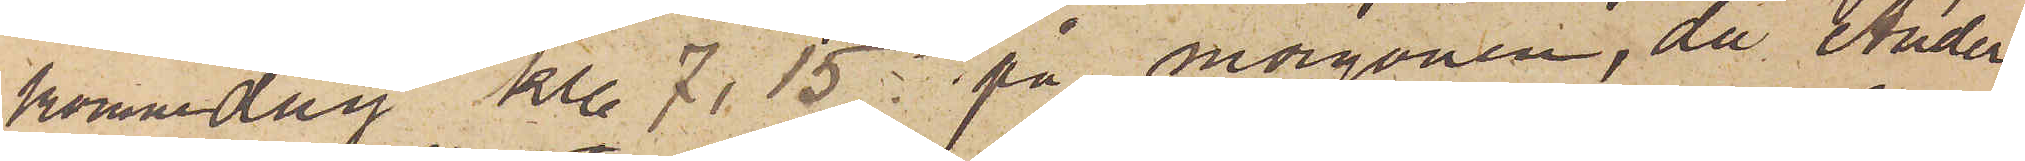kommande dag kl. 7,15 på morgonen, då Ander¬
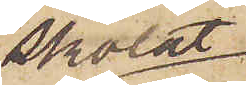skolat
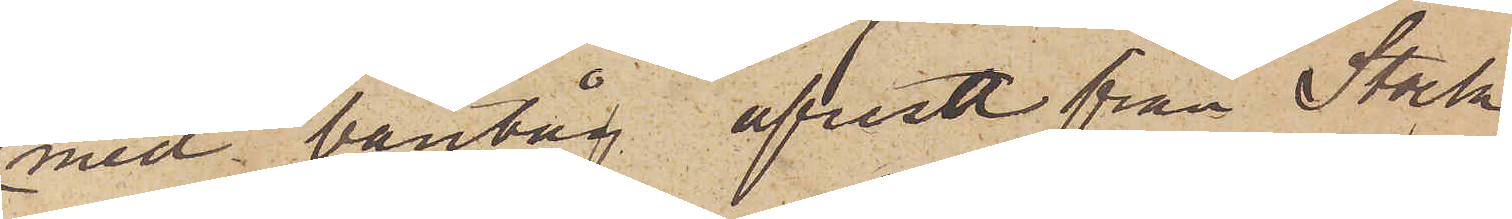med bantåg afresa från Stock¬
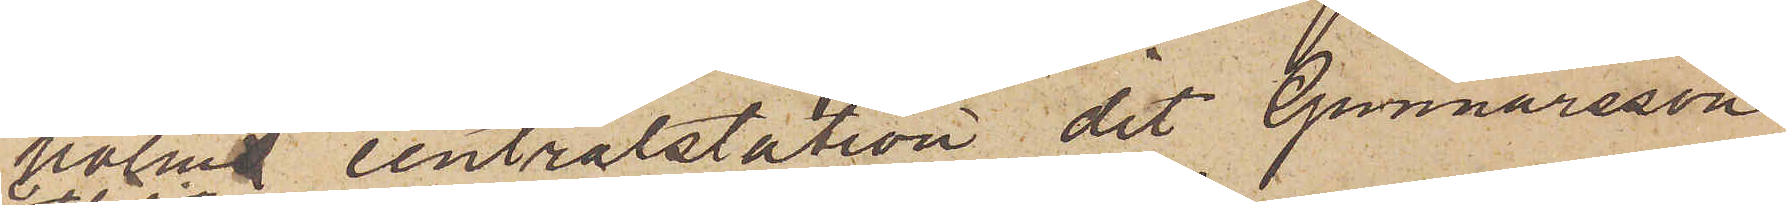holms centralstation, dit Gunnarsson
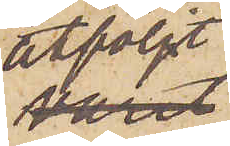åtföljt
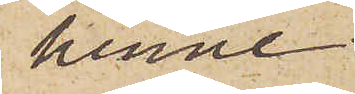henne,
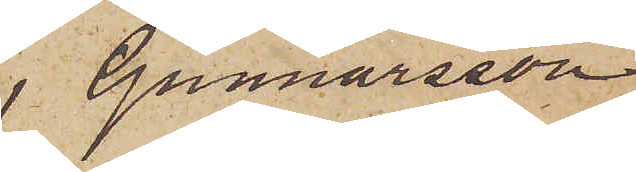 Gunnarsson
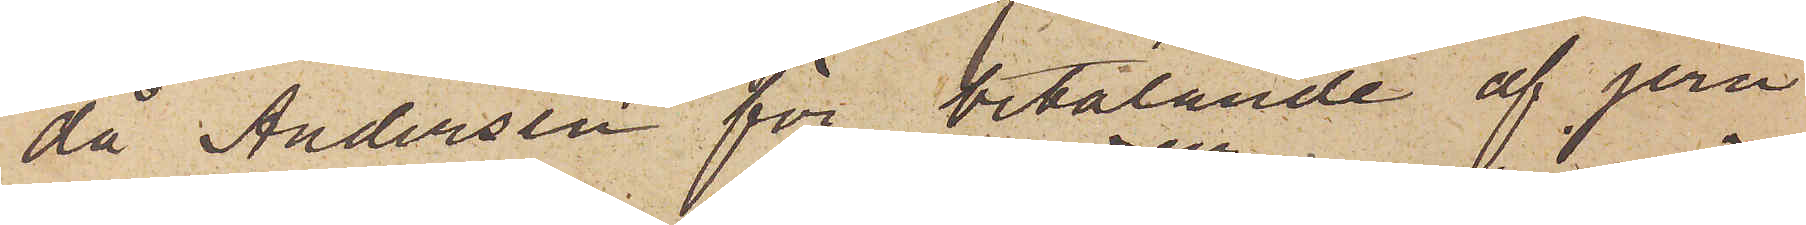då Andersen för betalande af jern¬
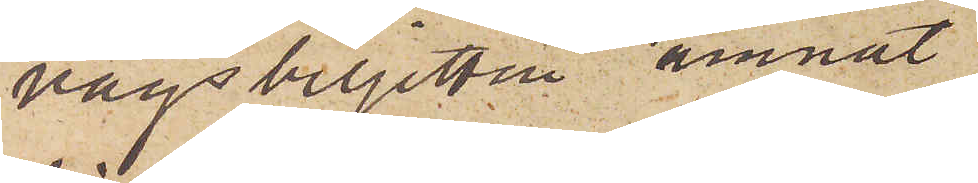vägsbiljetten ämnat
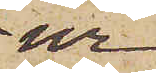ur
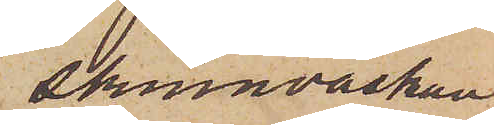skinnväskan
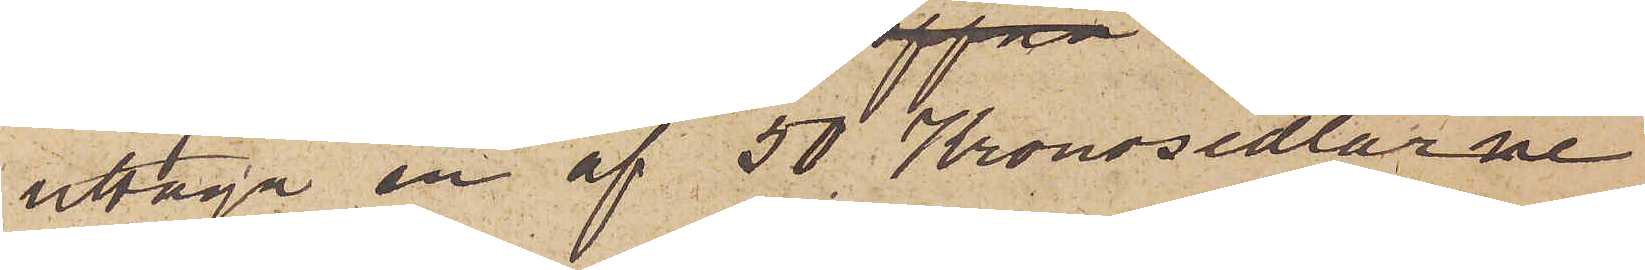uttaga en af 50 Kronosedlarne
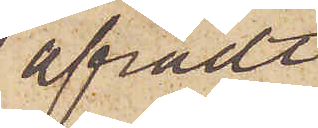afrådt
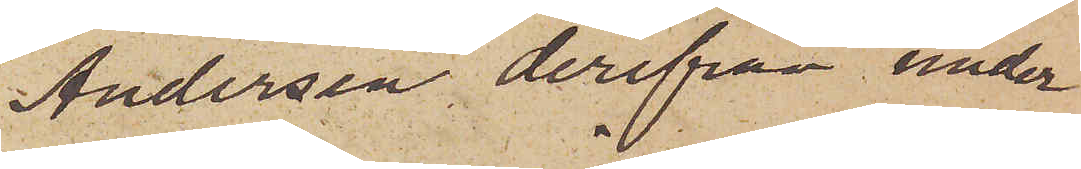Andersen derifrån under
